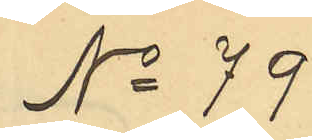No 79
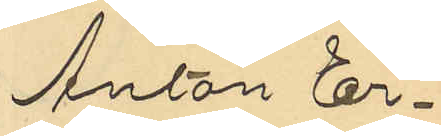Anton Er¬
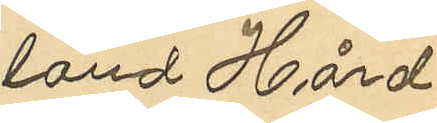land Hård
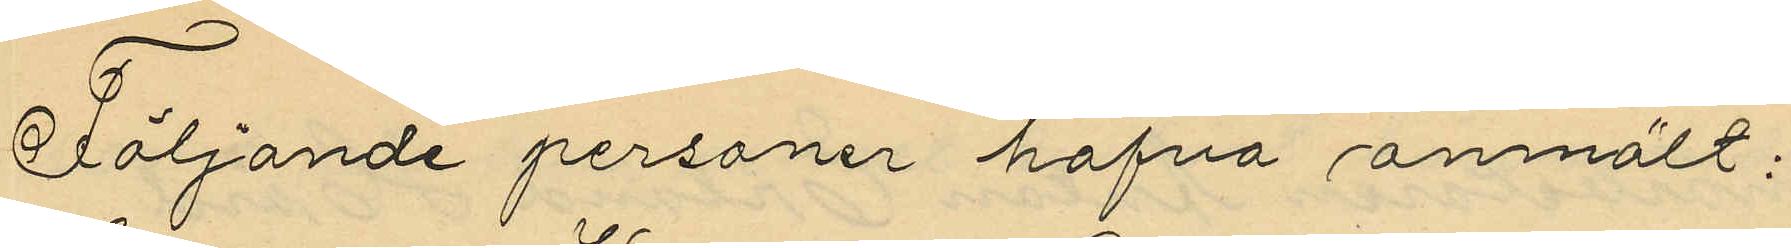Följande personer hafva anmält:
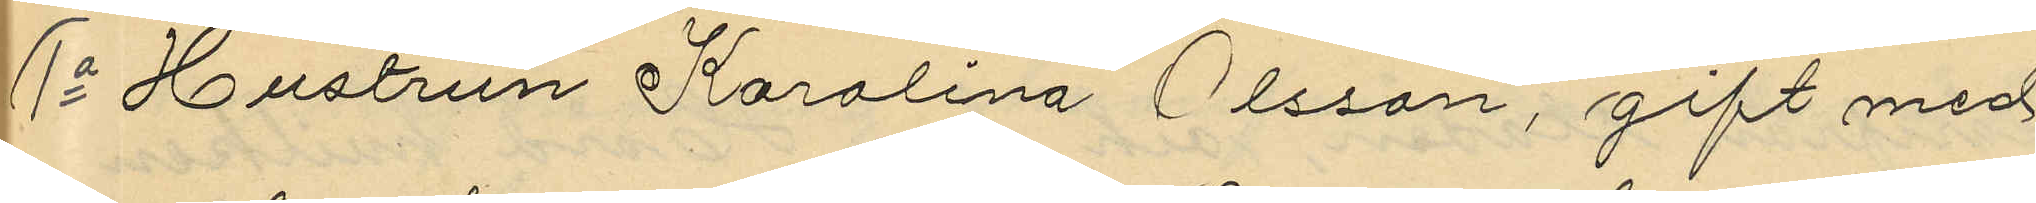1o Hustrun Karolina Olsson, gift med
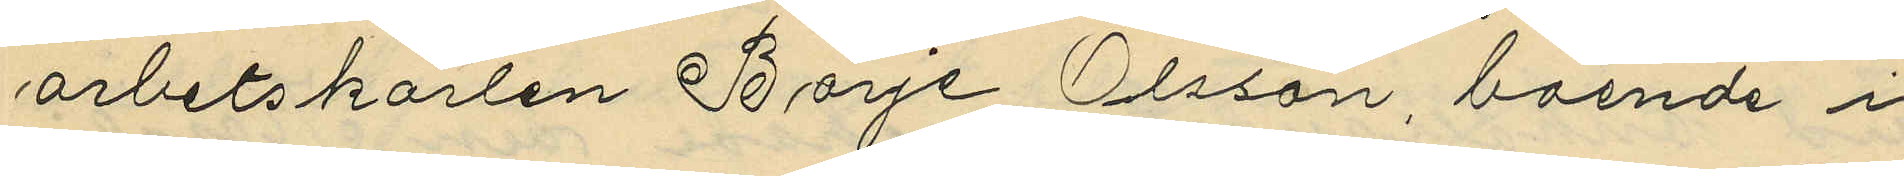arbetskarlen Börje Olsson, boende i
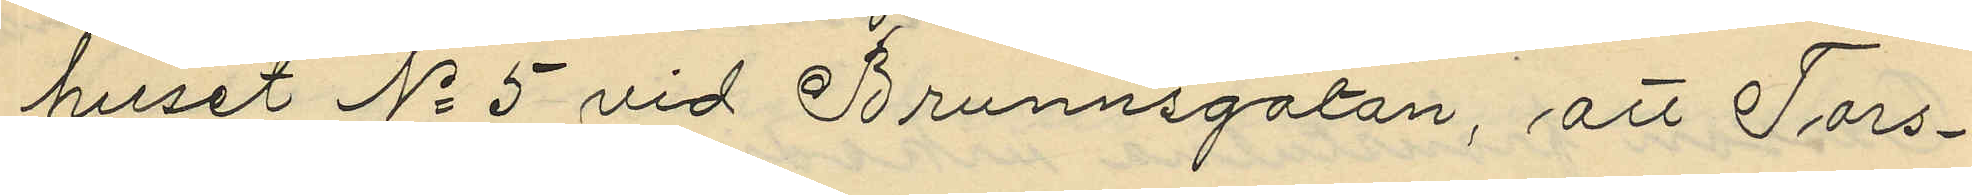huset No 5 vid Brunnsgatan, att Tors¬
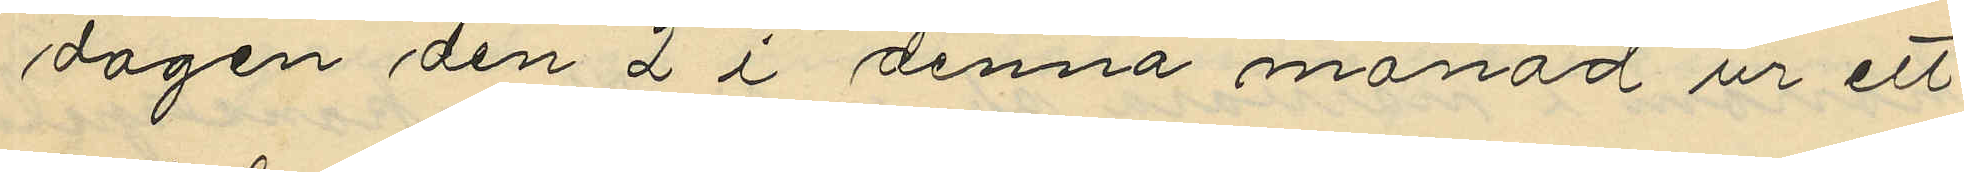dagen den 2 i denna månad ur ett
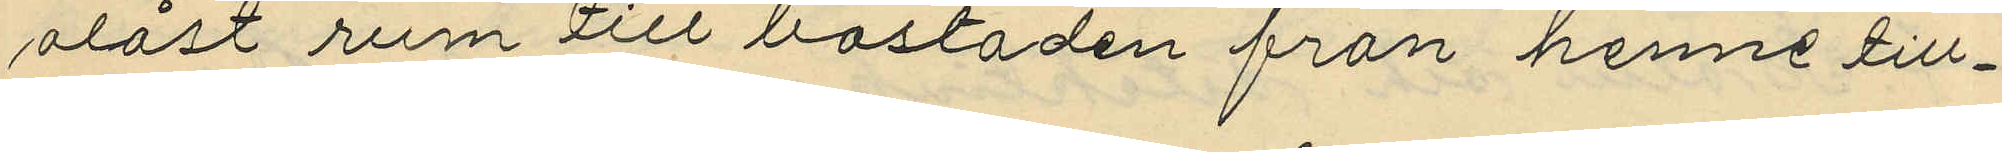olåst rum till bostaden från henne till¬
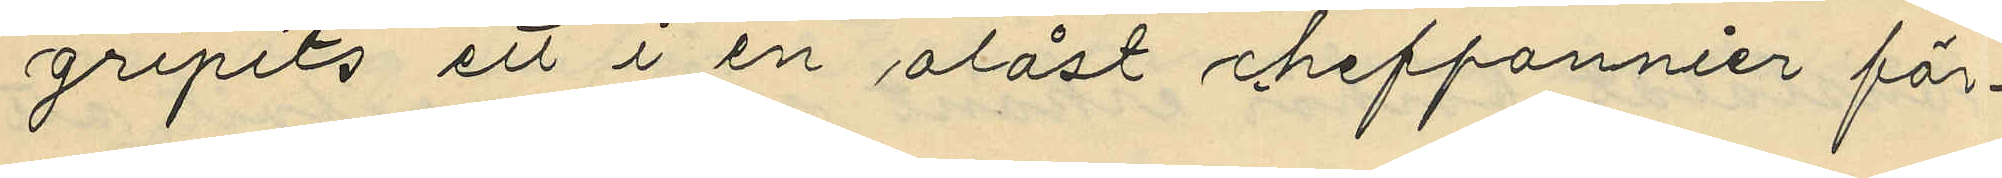gripits ett i en olåst cheffonnier för¬
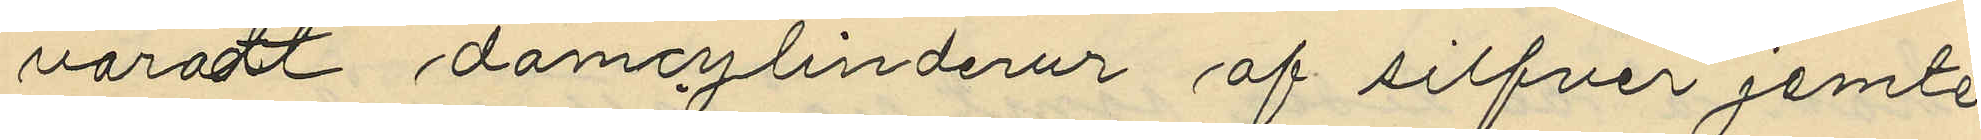varadt damcylinderur af silfver jemte
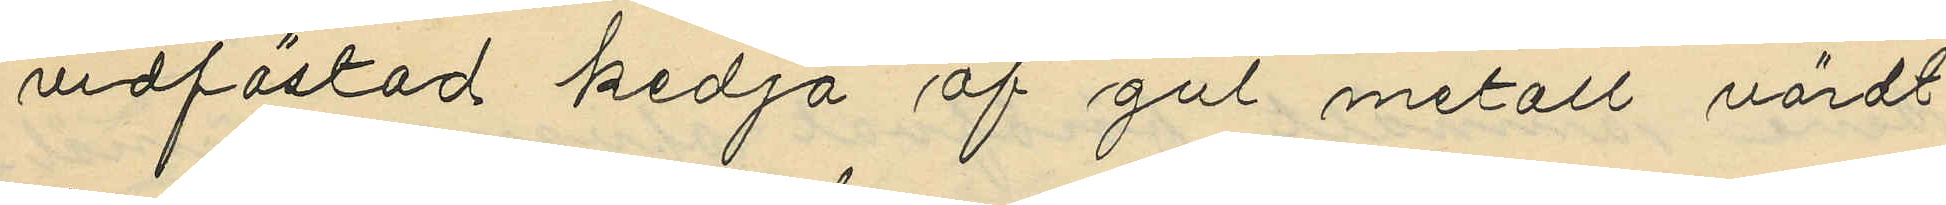vidfästad kedja af gul metall värdt
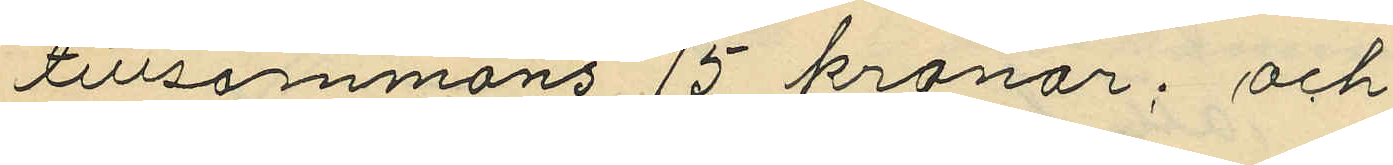tillsammans 15 kronor; och
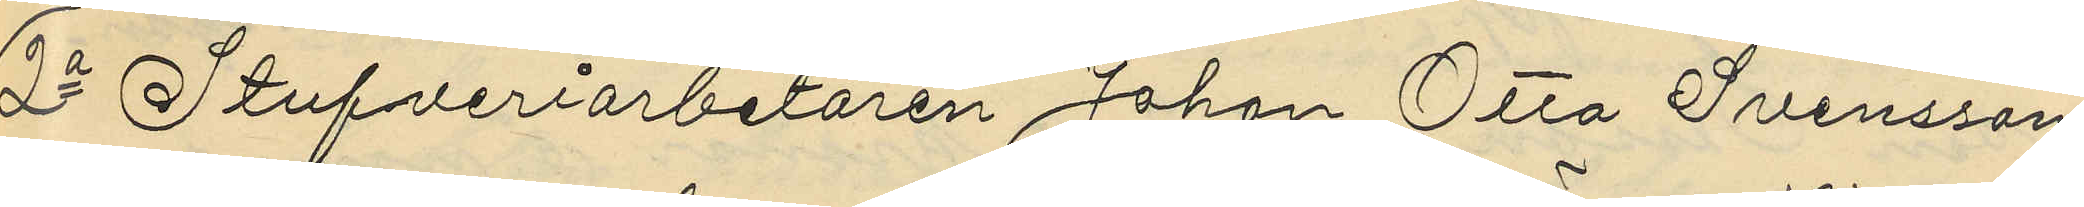3o Stufveriarbetaren Johan Otto Svensson,
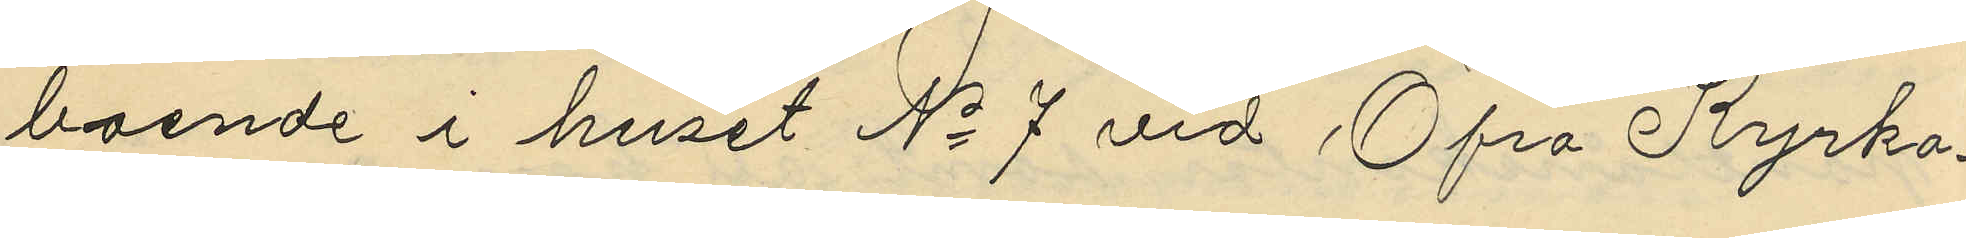boende i huset No 7 vid Öfra Kyrko¬
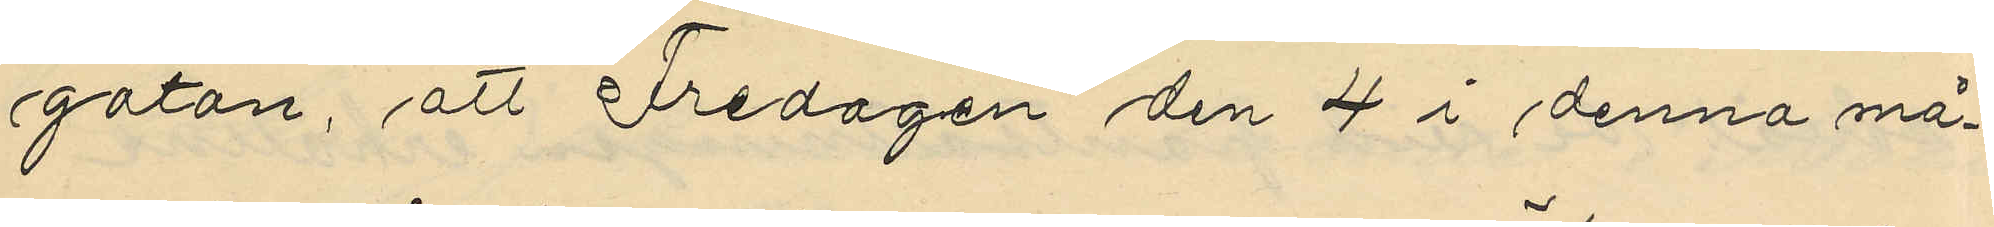gatan, att Fredagen den 4 i denna må¬
